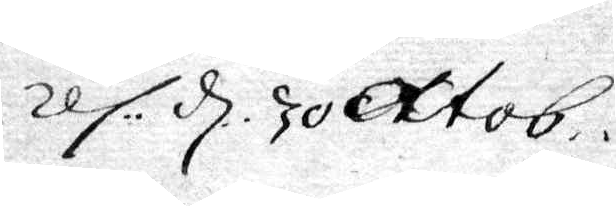res: d. 30 Oktob.
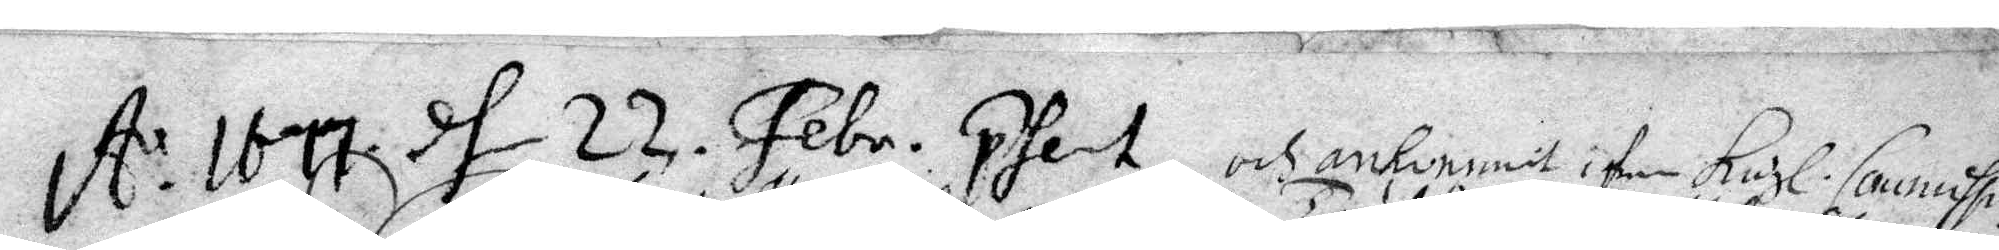A: 1677 dh 22 Febr. Phert och ankommit i dhen Kogl. Commssn.
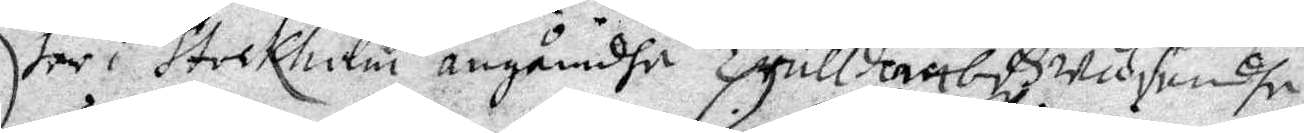her i Stockholm angåendhe Trulldombs wäsende.
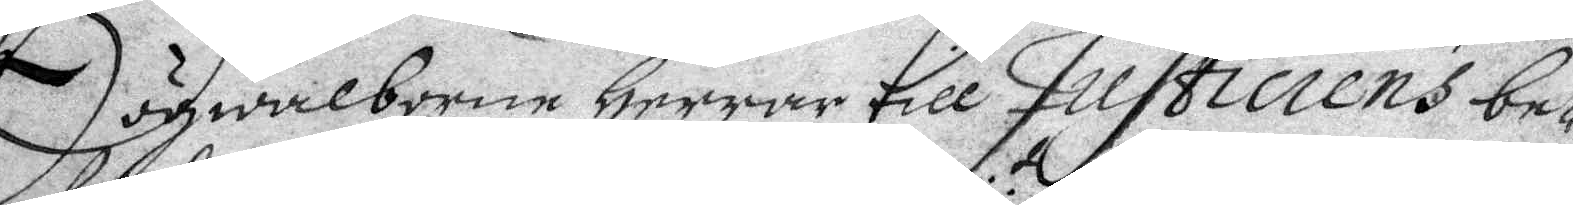Högwälborne Herrar till Justiciens be¬
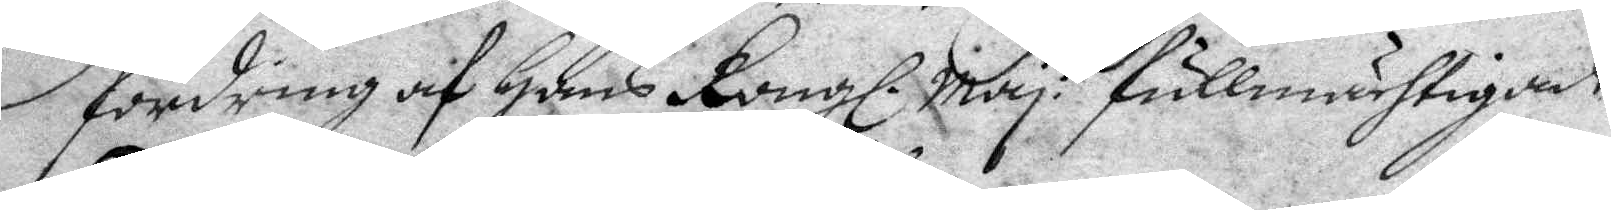fordring af Hans Kongl. May:t fullmächtigade
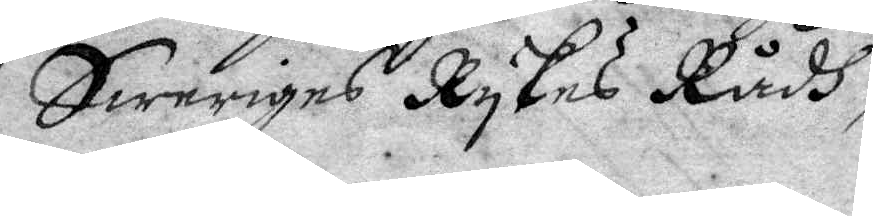Sweriges Rykes Rådh,
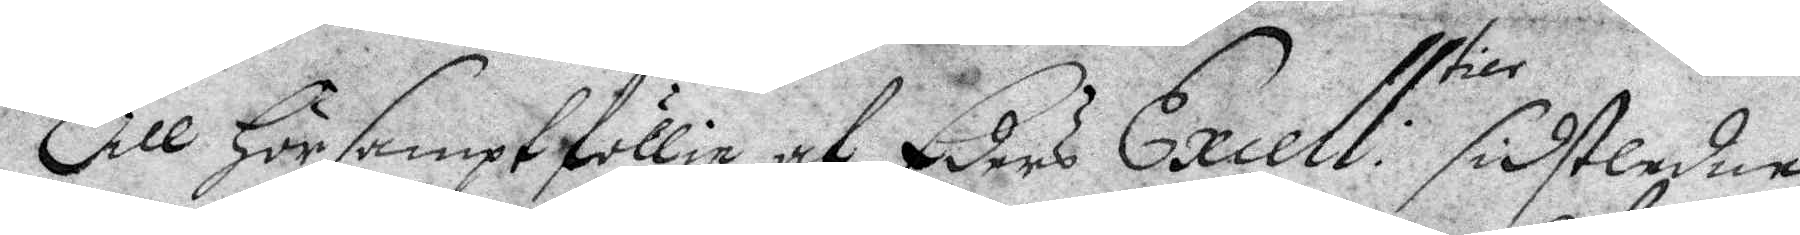Till hörsampt föllie af Eders Excell.tier sidstledne
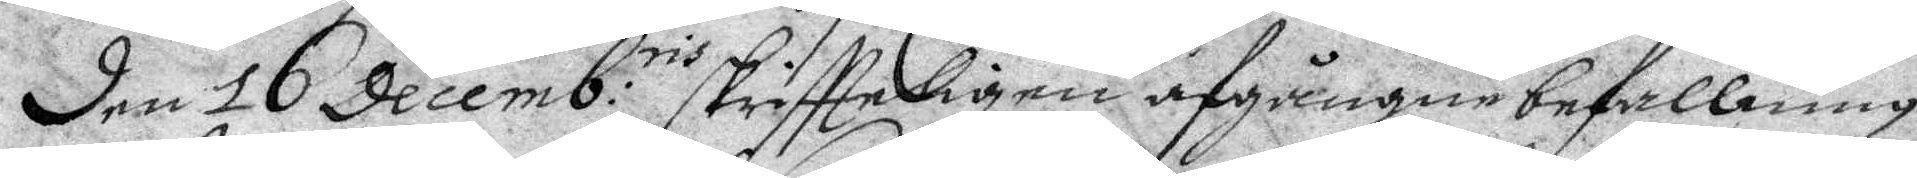den 16 decemb:ris skriftteligen afgångne befallning,
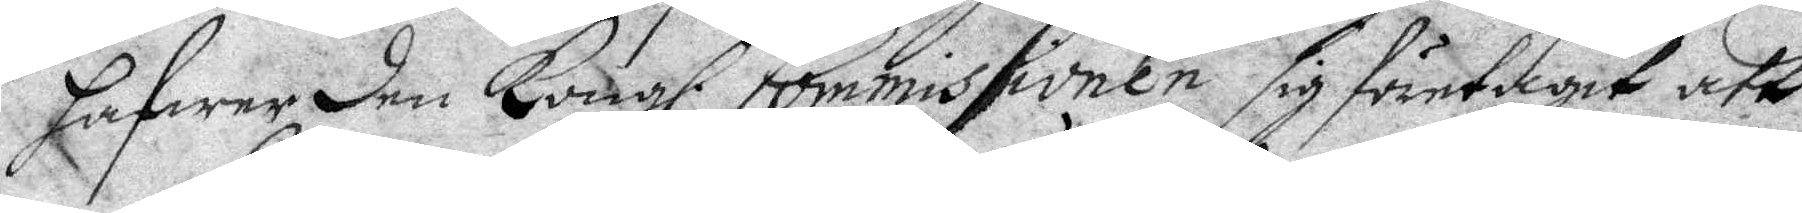hafwer den Kongl. Commissionen sig företagit att
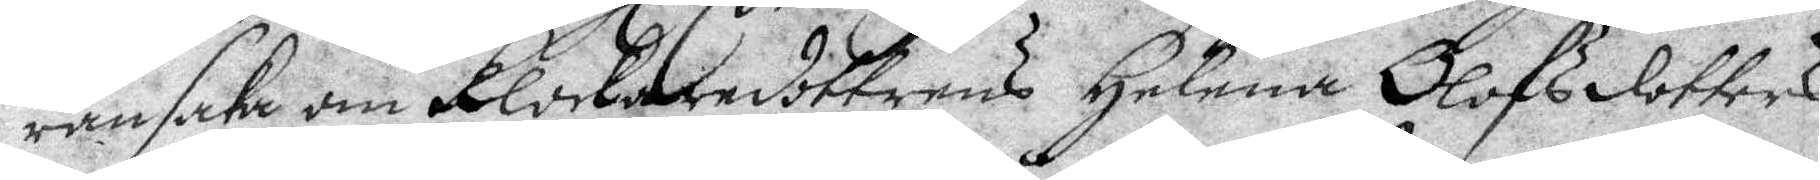ransaka Klockaredottrens Helena Olofsdotters
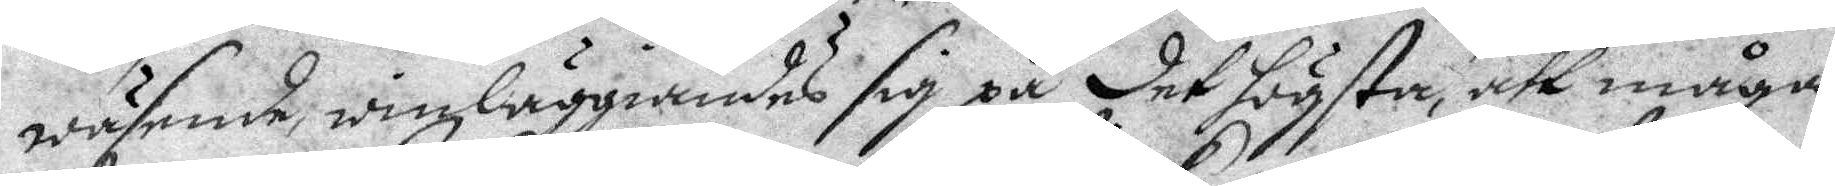wäsende, winläggiandes sig på det högsta, att måga
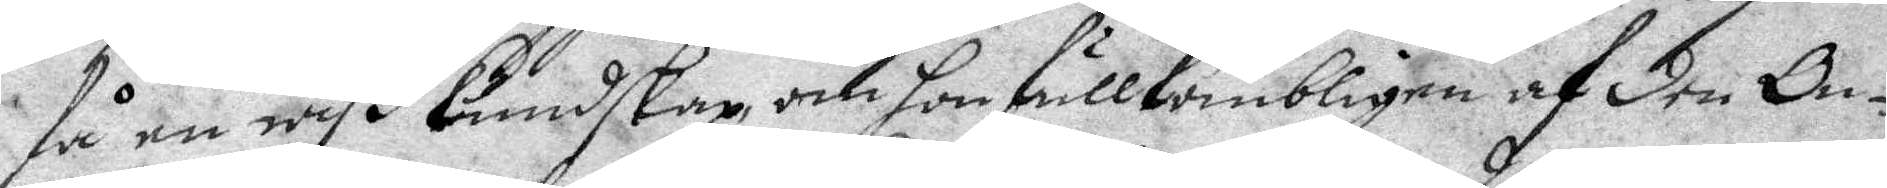få en wiß kundskap, om hon fullkomnligen af den On¬
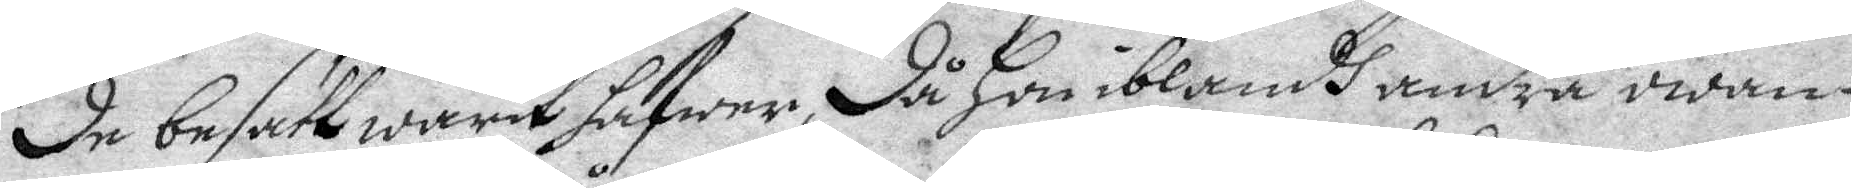de besatt warit hafwer, då hon iblandh andra owan¬
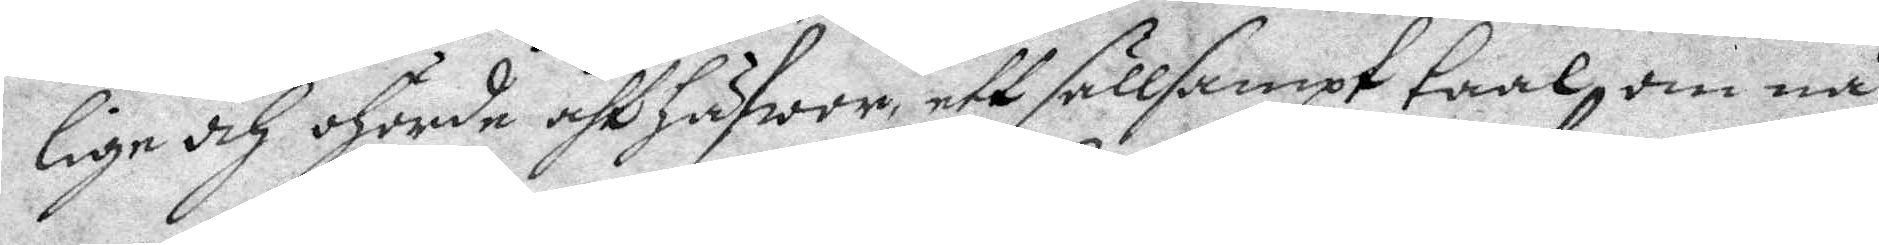lige och ohörde åhthäfwor, ett sällsampt taal om nå¬
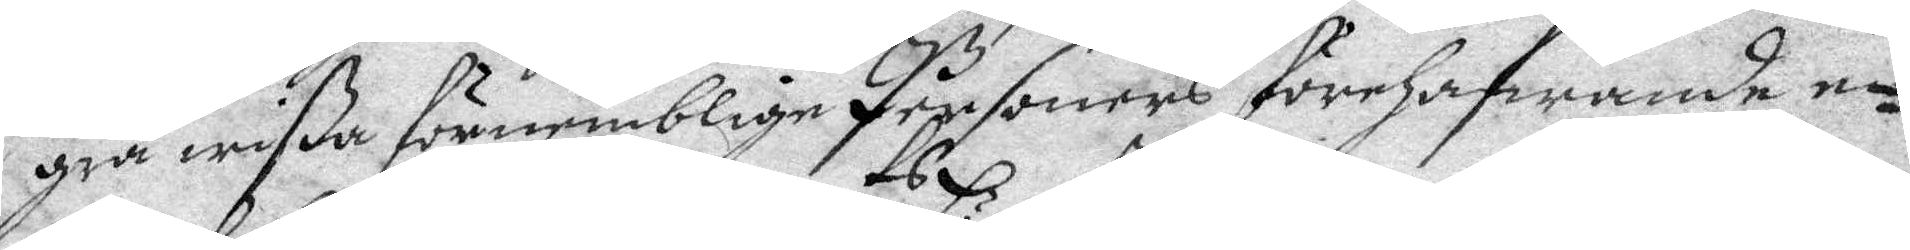gra wißa förnemblige Personers förehafwande e¬
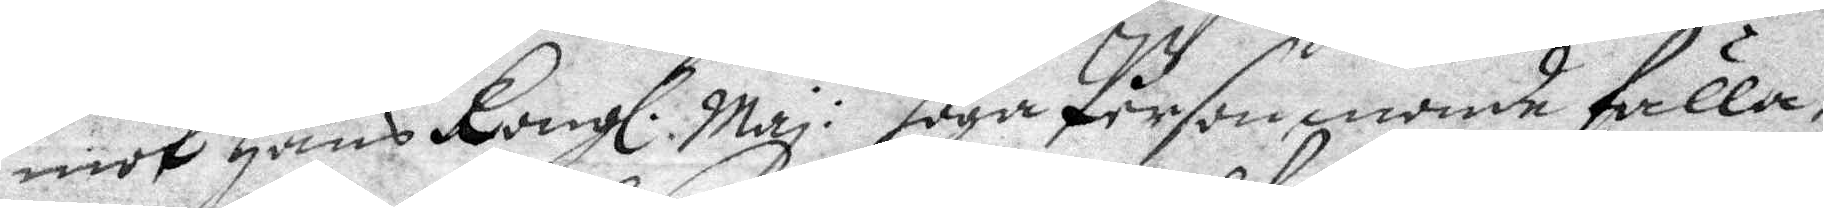mot Hans Kongl: Maj:ts höga Person monde fälla;
